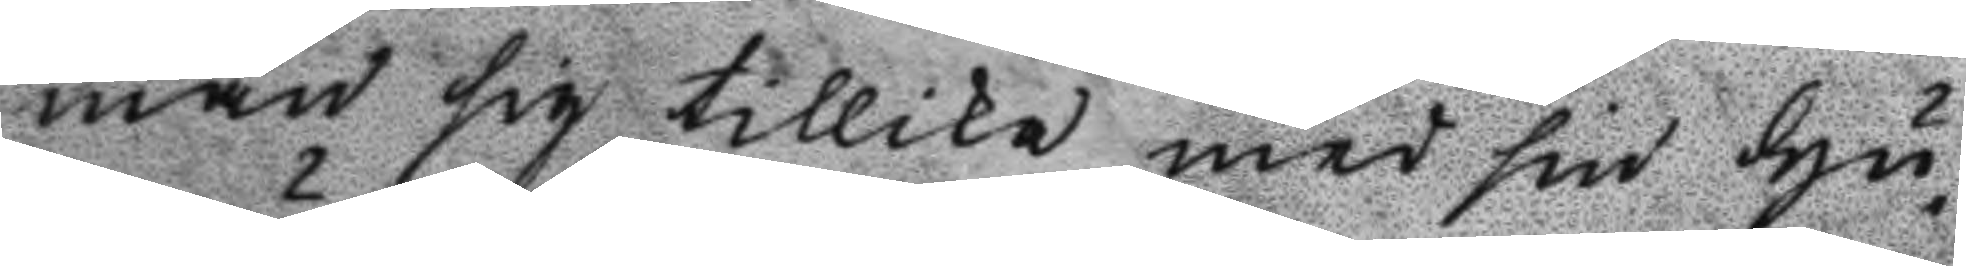man sig tillika med sin Hu¬
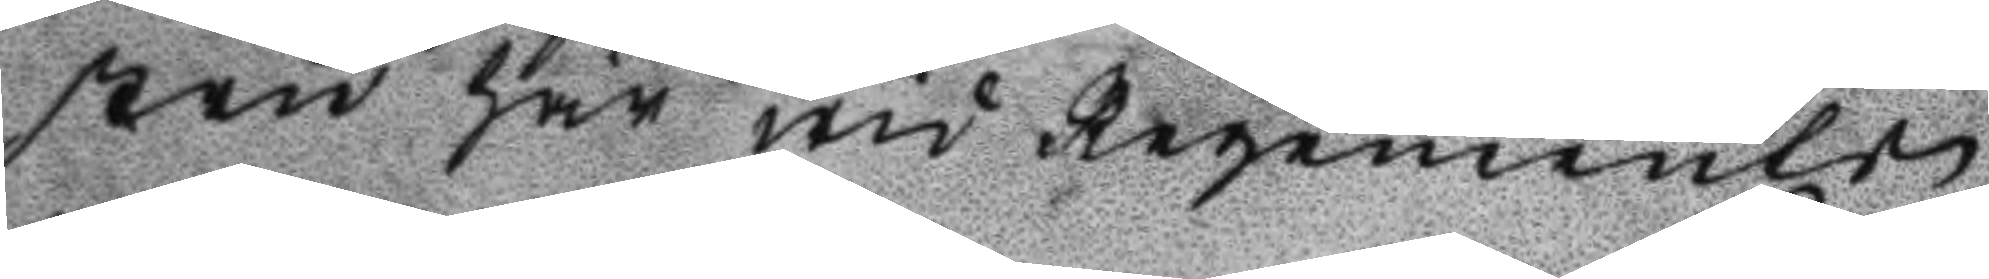stru här wid Regementes
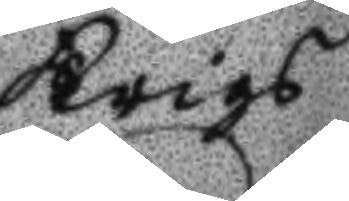Krigs
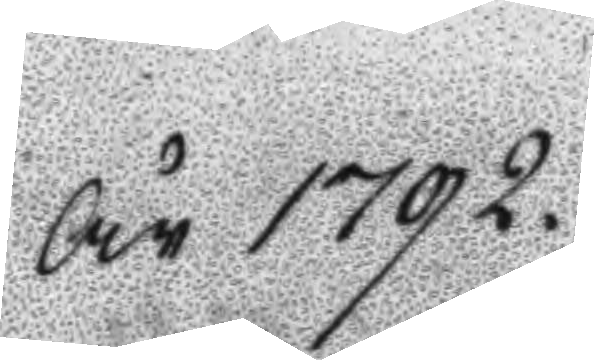År 1792.
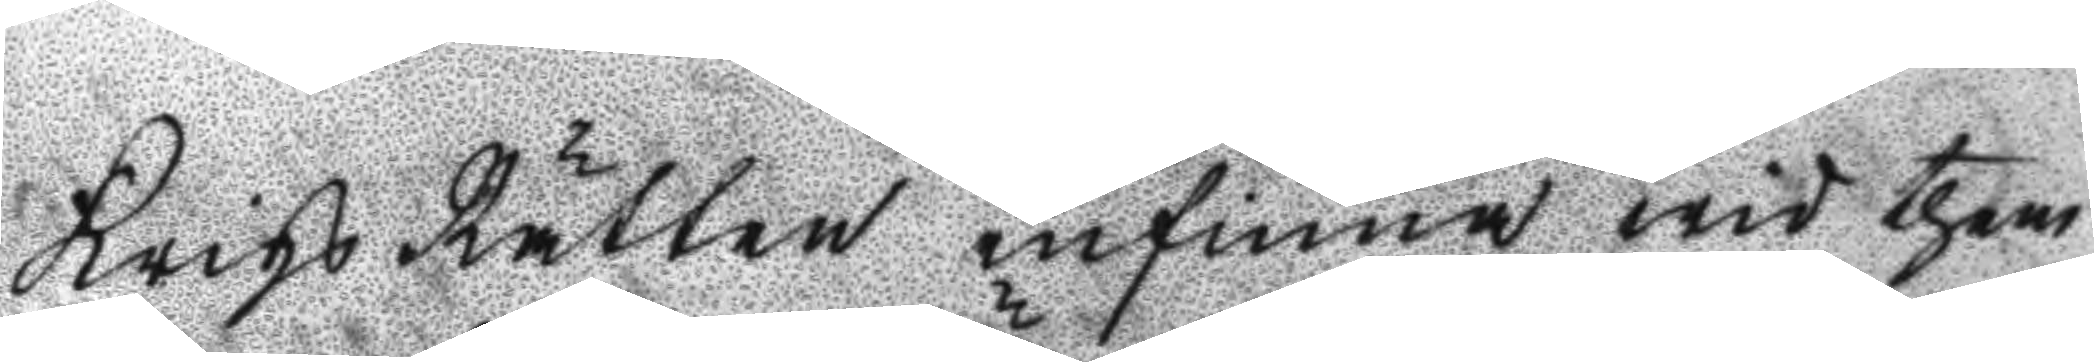Krigs Rätten infinna wid them
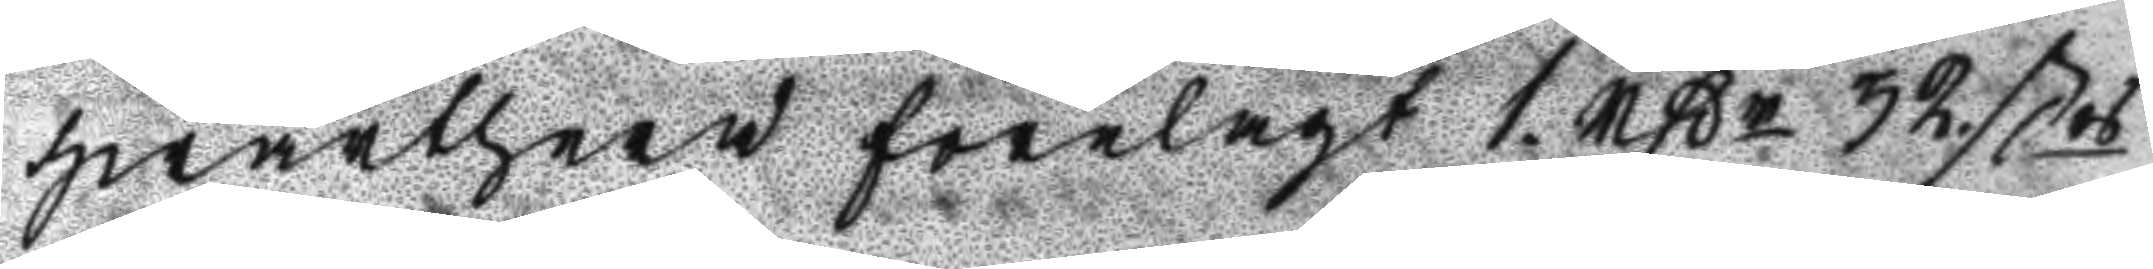hwarthera förelagt 1 rßr 32 ßrs
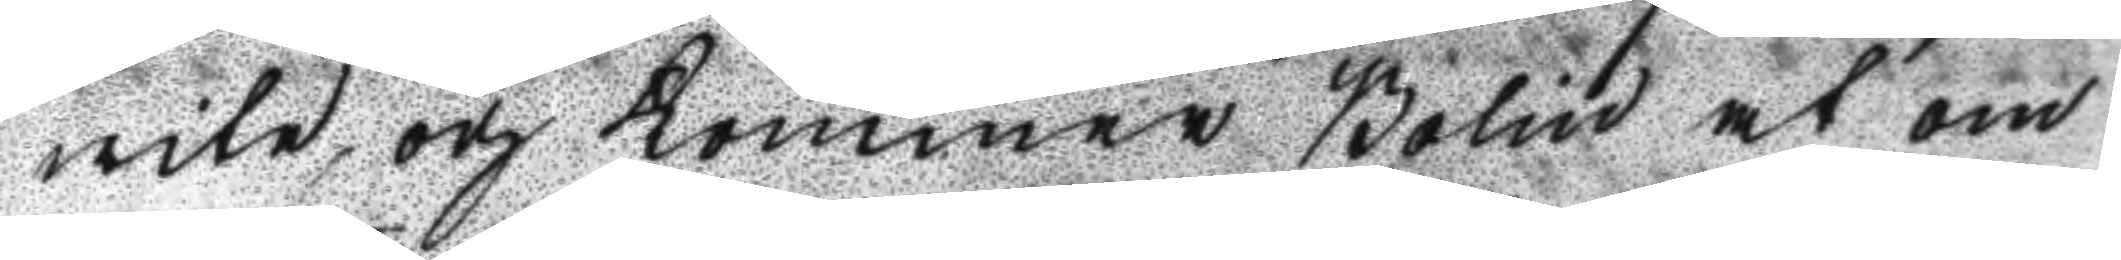wite, och kommer Bolin at om
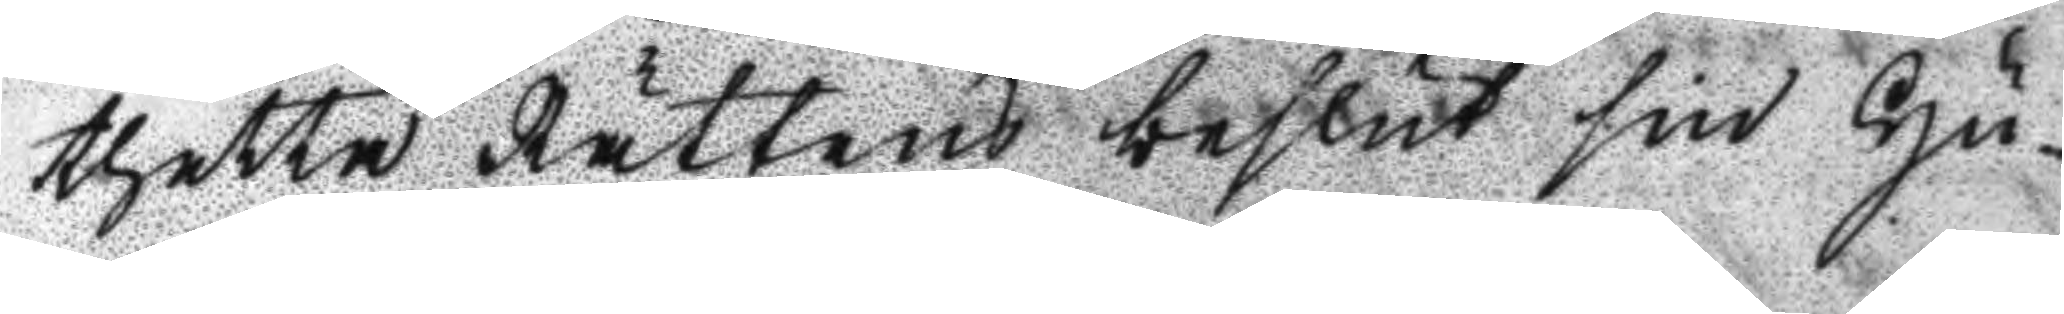thetta Rättens beslut sin Hu¬
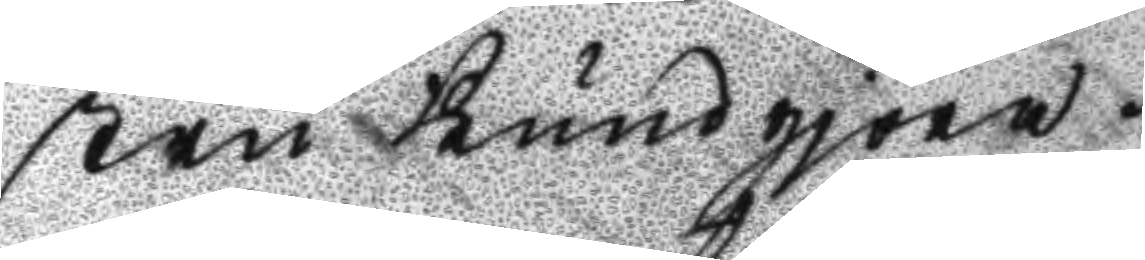stru kundgjöra.
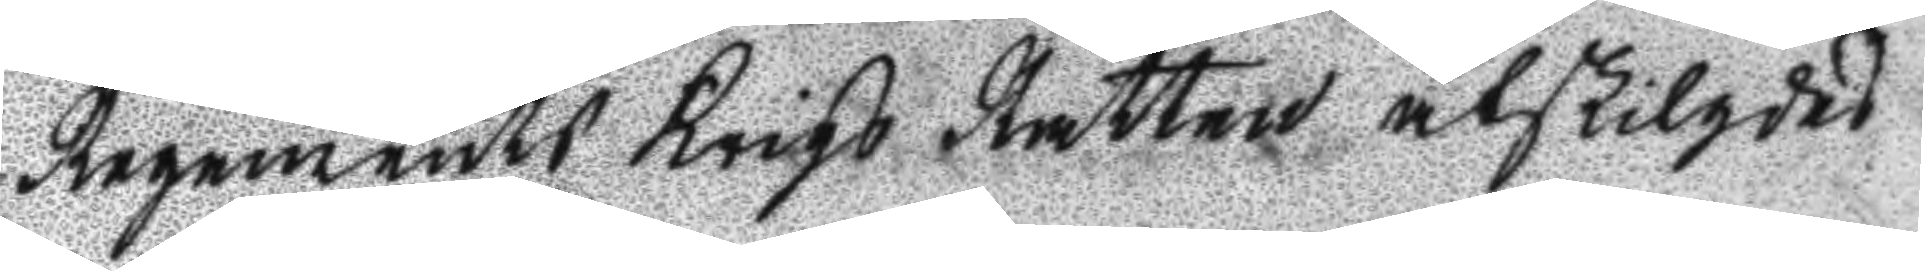Regements Krigs Rätten åtskilgdes
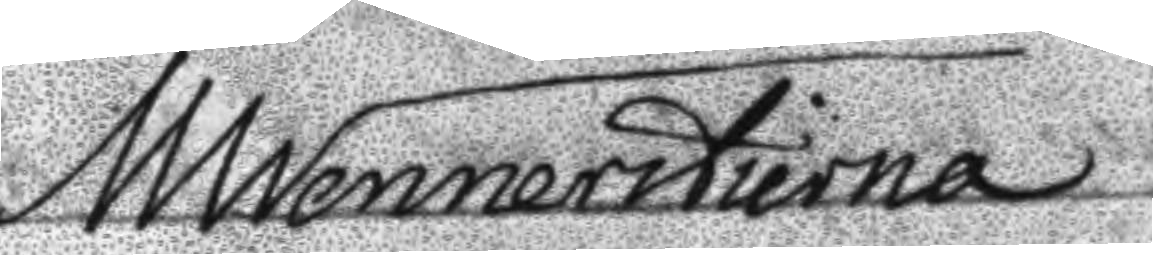MWennerstierna
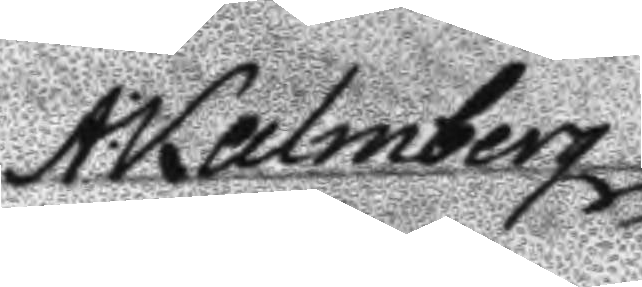A: Kalmberg
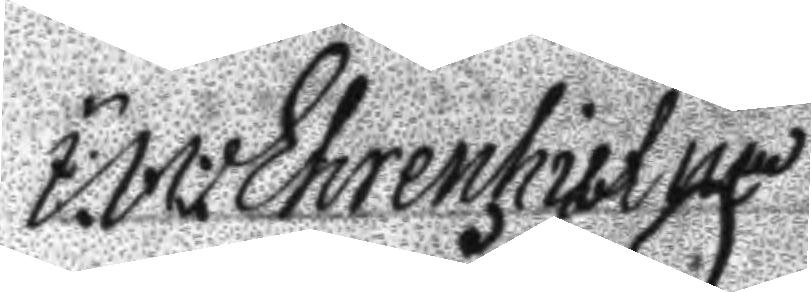I:W: Ehrenhielm
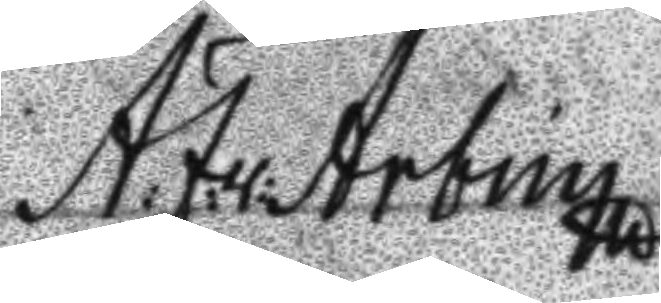A: J: v: Arbin
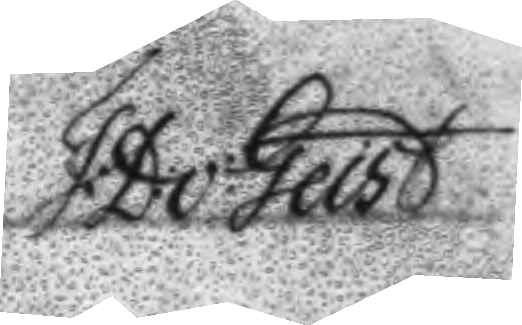F: D: v: Geist
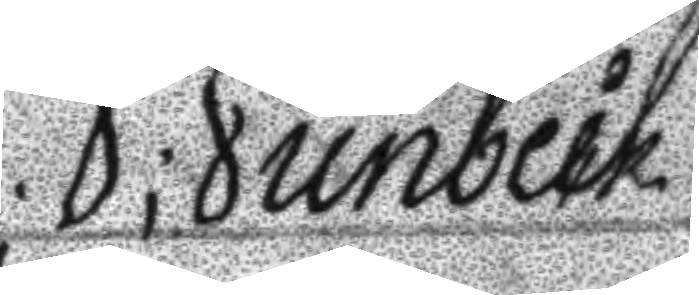J; Junbeck
